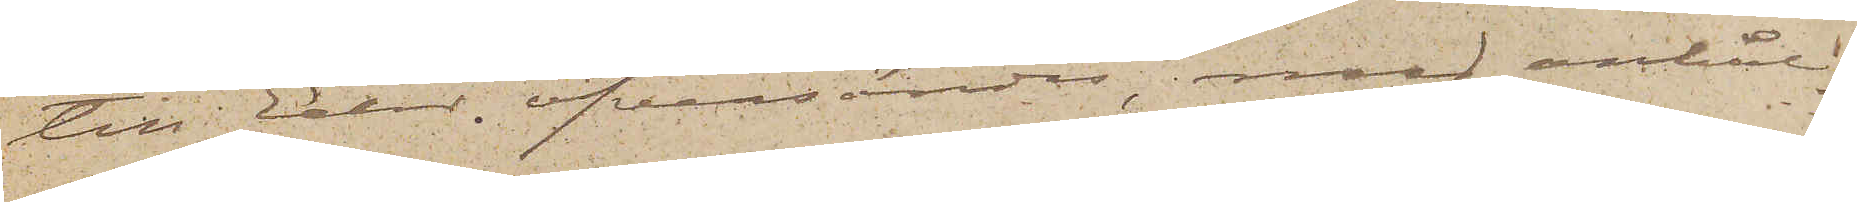till Eder öfversändes, med anhåll¬
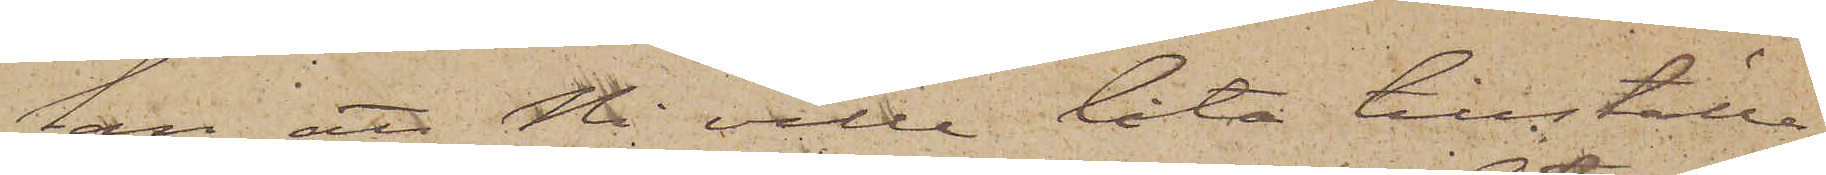lan att Ni ville låta tillställa
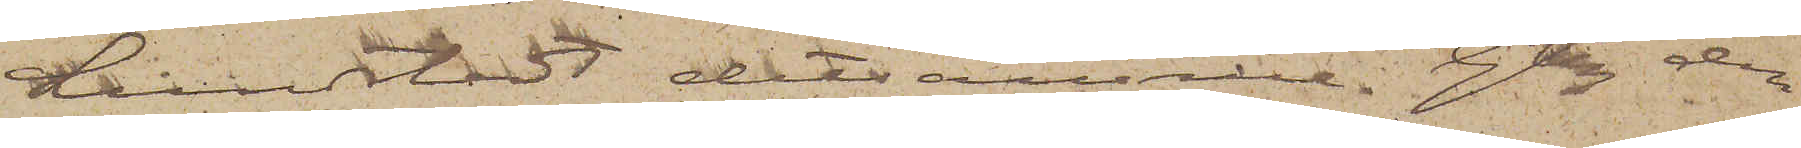Lindstedt detsamma. Gtbg den
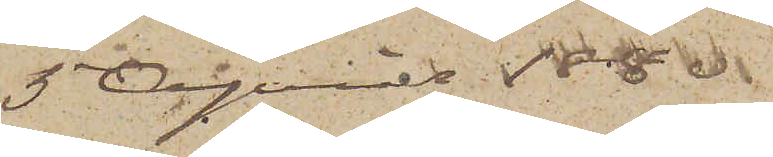5 April 1880.
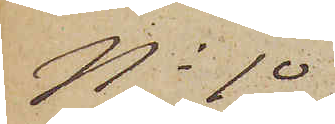No 10
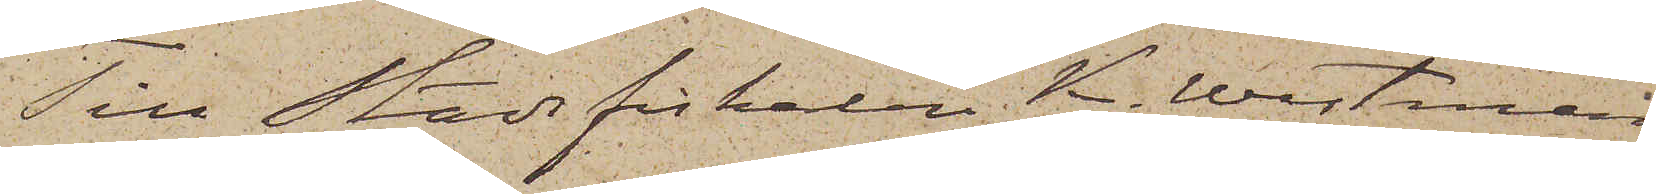Till Stadsfiskalen K. Westman
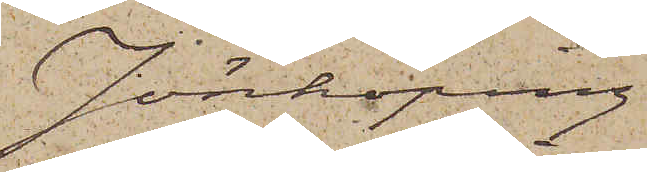Jönköping
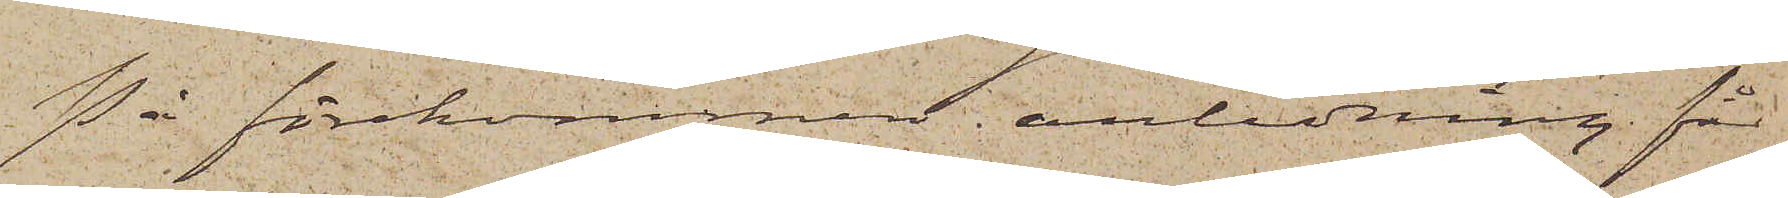På förekommen anledning får
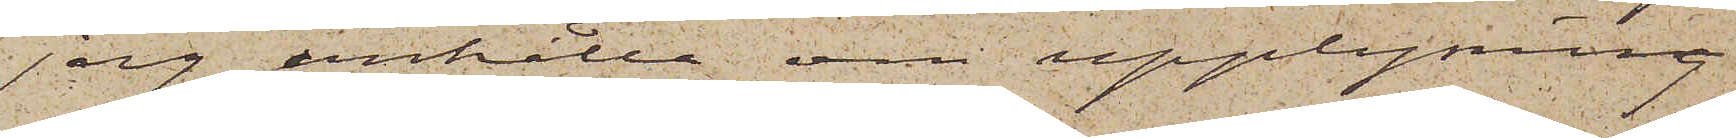 jag anhålla om upplysning
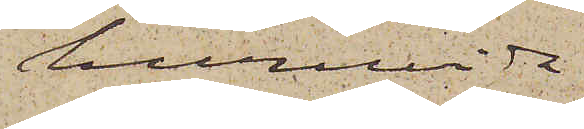huruvida
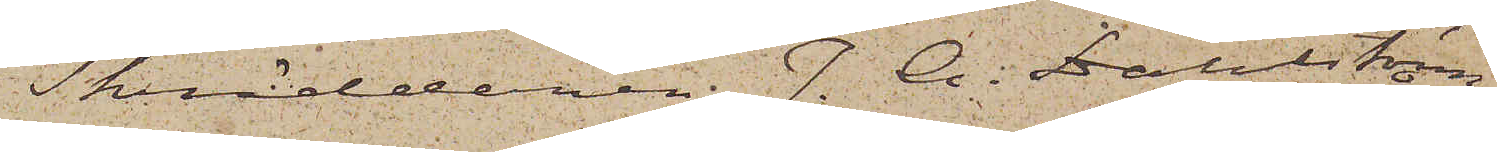Skräddaren J. A. Dahlström
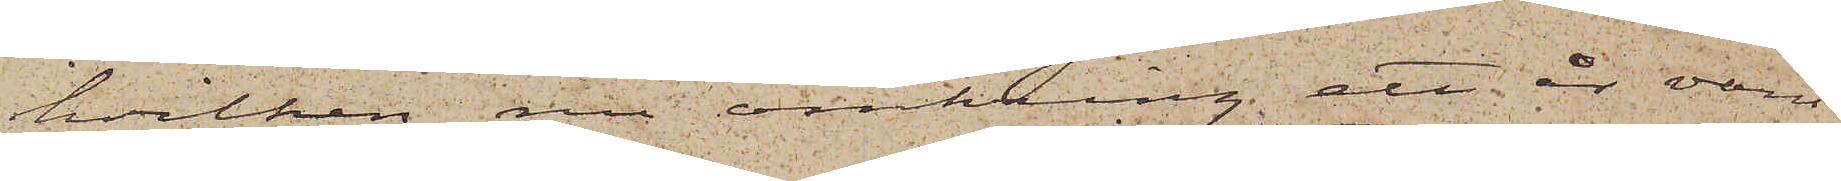hvilken nu omkring ett år varit
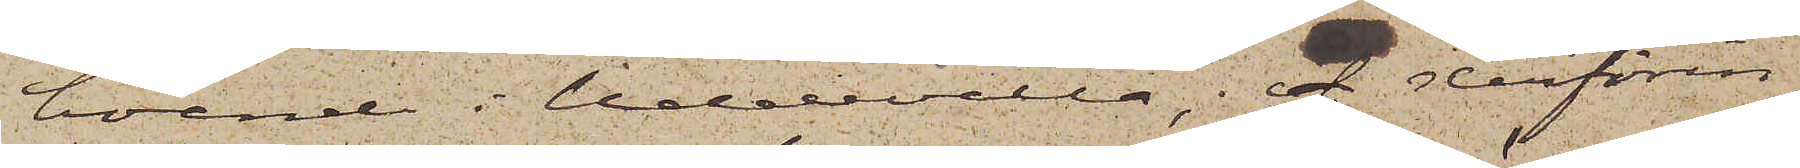boende i Uddevalla, f derförin¬
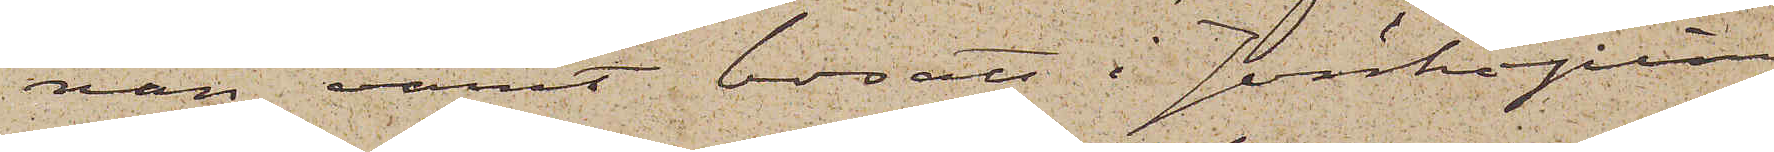nan varit bosatt i Jönköping
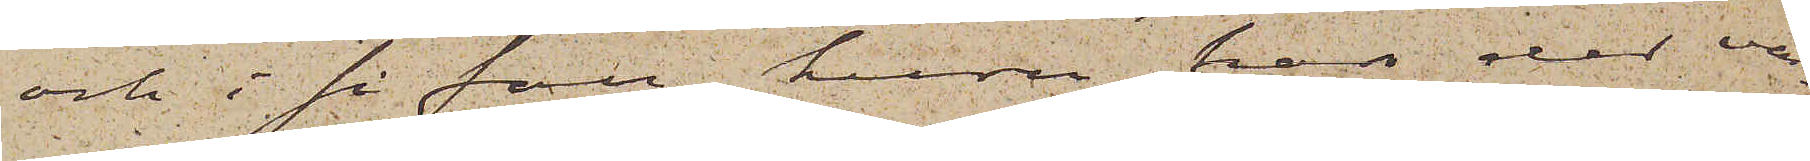och i så fall huru han der va¬
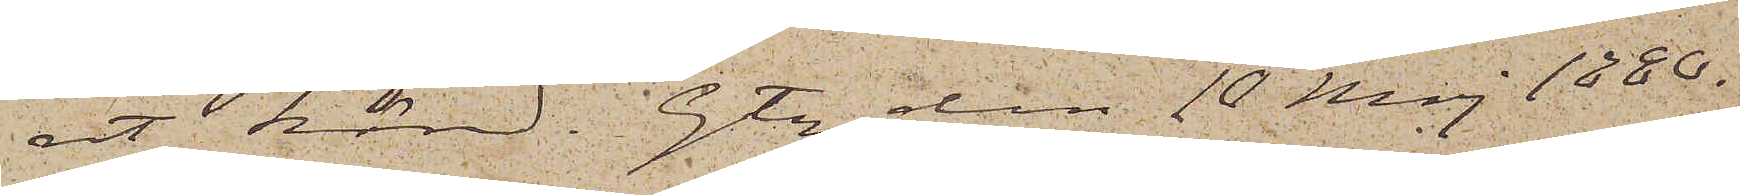rit känd. Gtbg den 10 Maj 1880.
